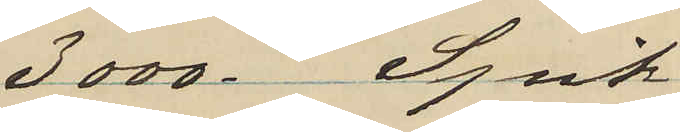3000 Spik
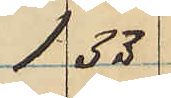1 33
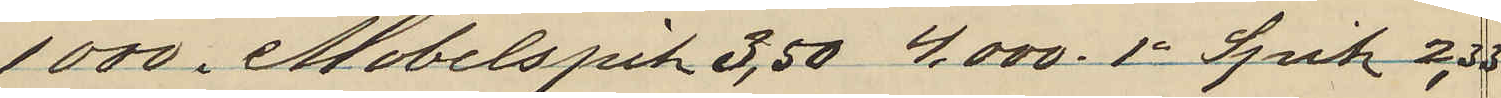1000 i Möbelspik 3,50 4.000 1" Spik 2,33
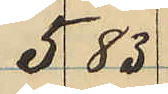5 83
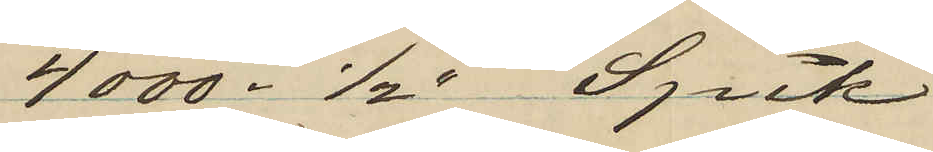4 000 1/2" Spik
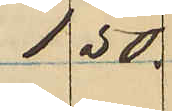1 50
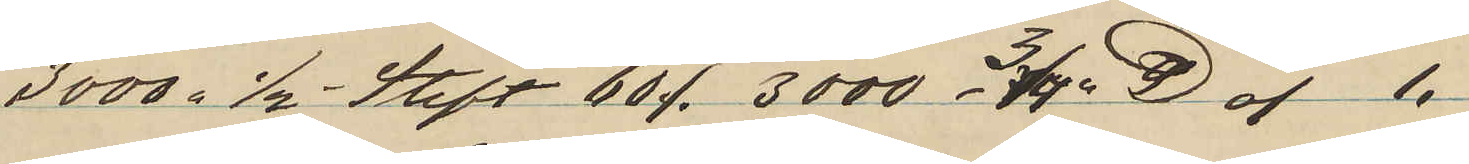3000 1/2 Stift 60 o 3000   3/4" ℔ o 1.
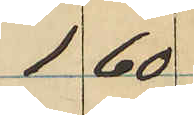1 60
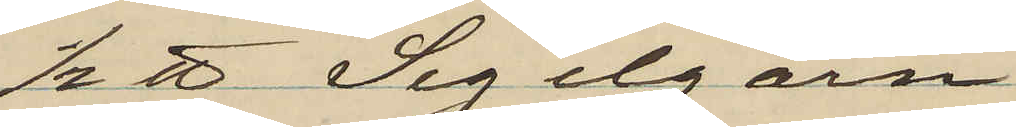1/2 ℔ Segelgarn
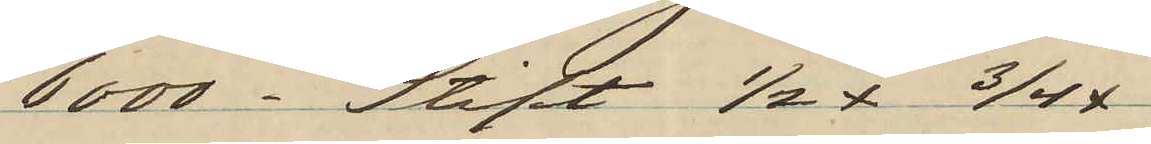6000 Stift 1/2x  3/4x
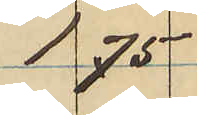1 75
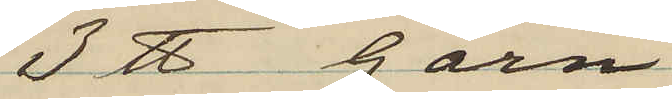3 ℔ Garn
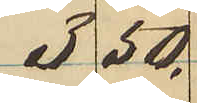3 50.
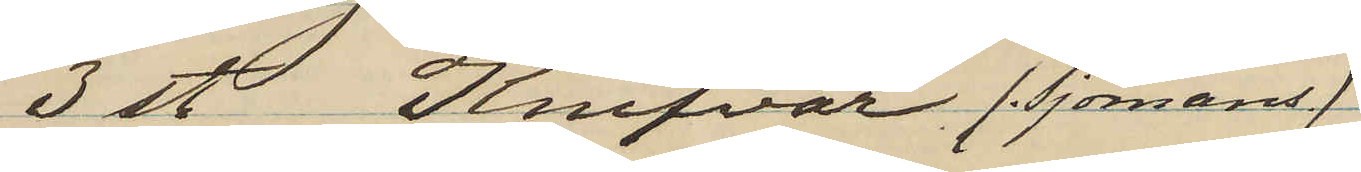3 st knifvar (Sjömans)
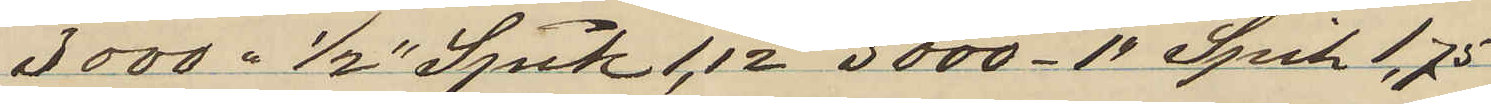3000. 1/2" Spik 1,12   3000 1" Spik l.75
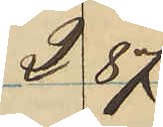2 87
